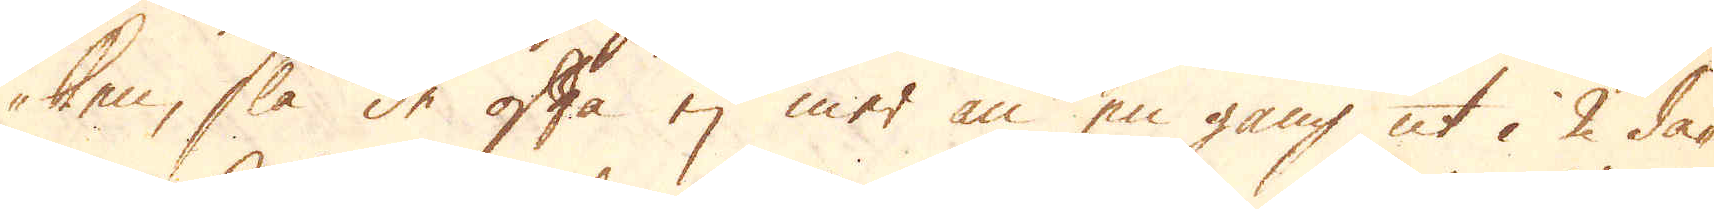ken, slå de ofta ej mer än en gång ut i 2 da-
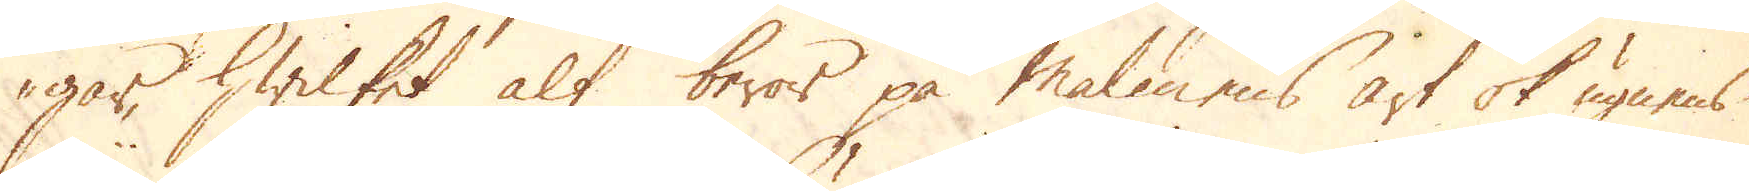gar, hwilket alt beror på Malmens art ok ugnens
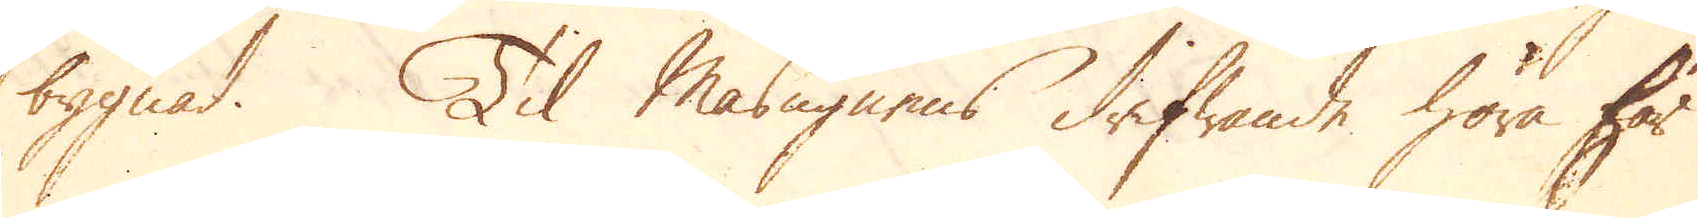bygnad. Til Masugnens drifwande höra här
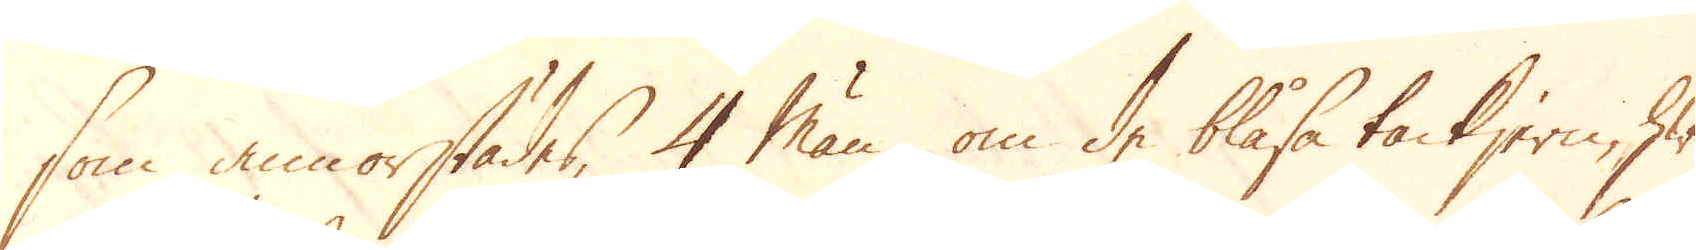som annorstädes, 4 man om de blåsa tackjern, hwil-
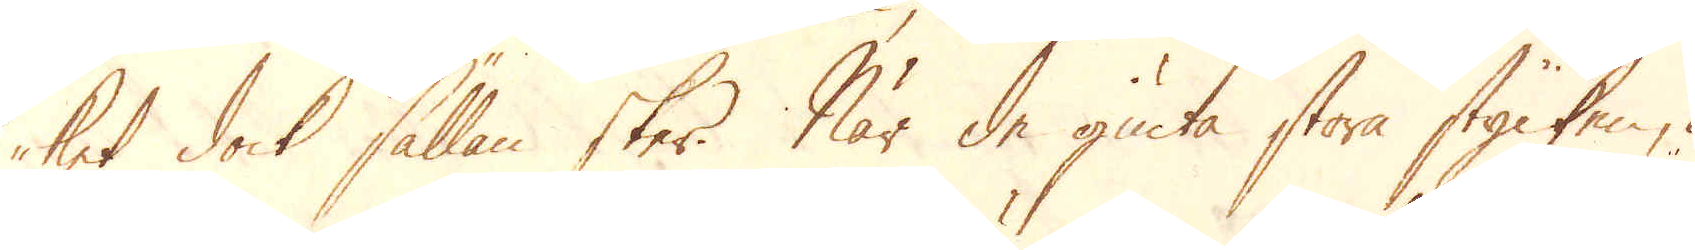ket dock sällan sker. När de giuta stora stycken, ä-
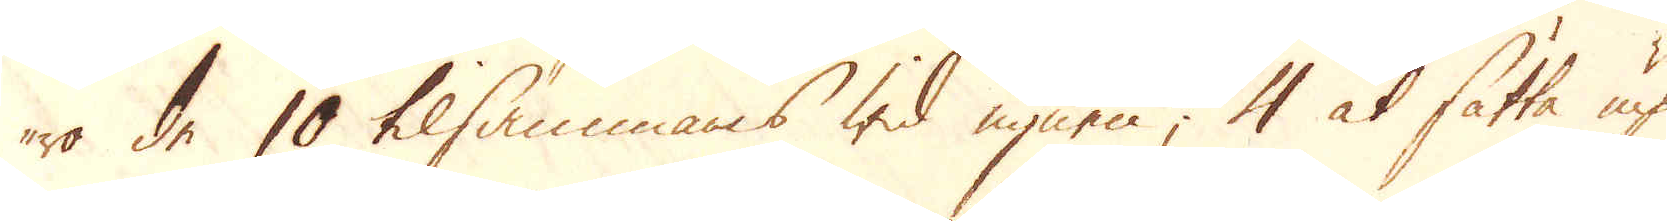ro de 10 tilsammans wid ugnen, 4 at sätta up
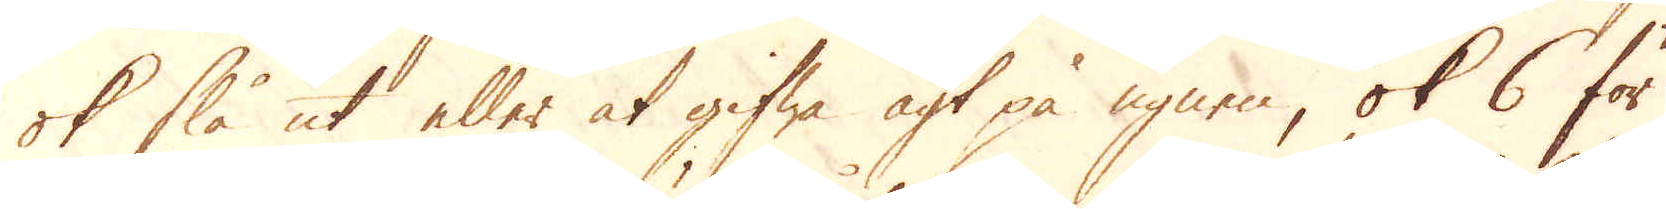ok slå ut eller at gifwa agt på ugnen, ok 6 för
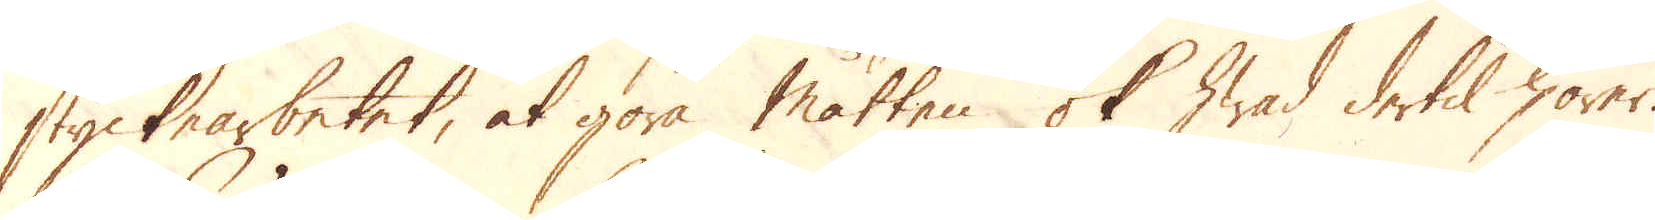styckearbetet, at göra måtten ok hwad dertil hörer.
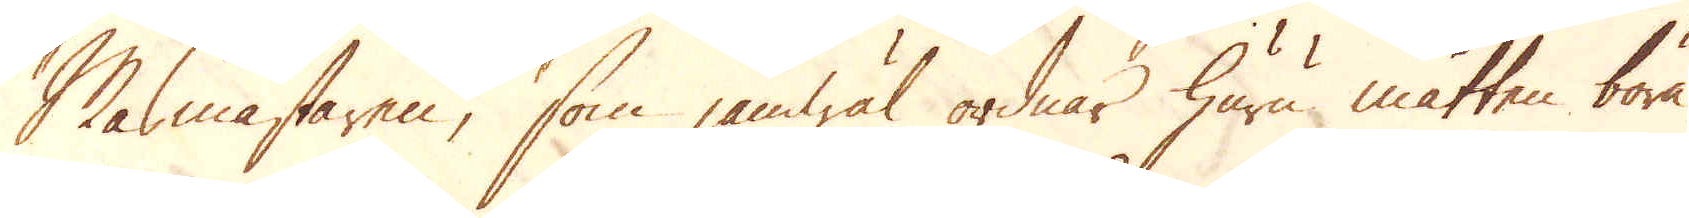Masmästaren, som jämwäl ordnar huru måtten böra
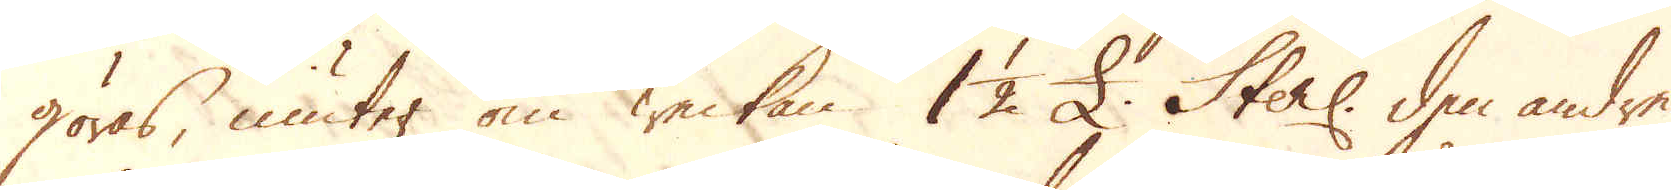göras, niuter om weckan. 1 1/2 £. Sterl: den andre
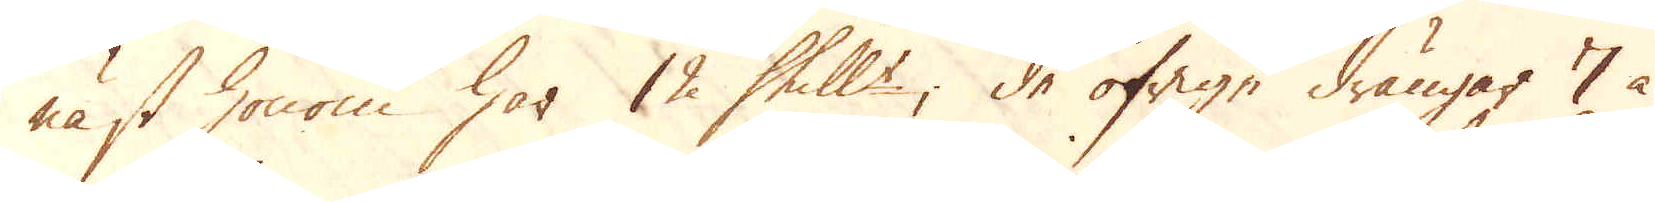näst honom har 12 Shill:r, de öfrige drängar 7 à
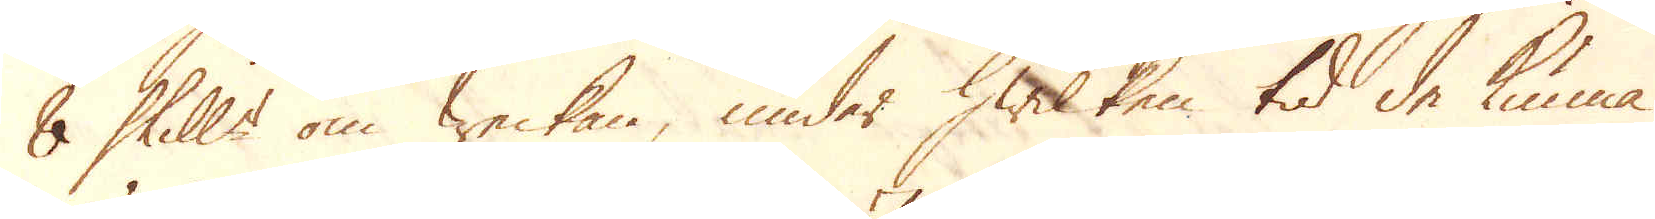8 Skill:r om weckan, under hwilken tid de kunna
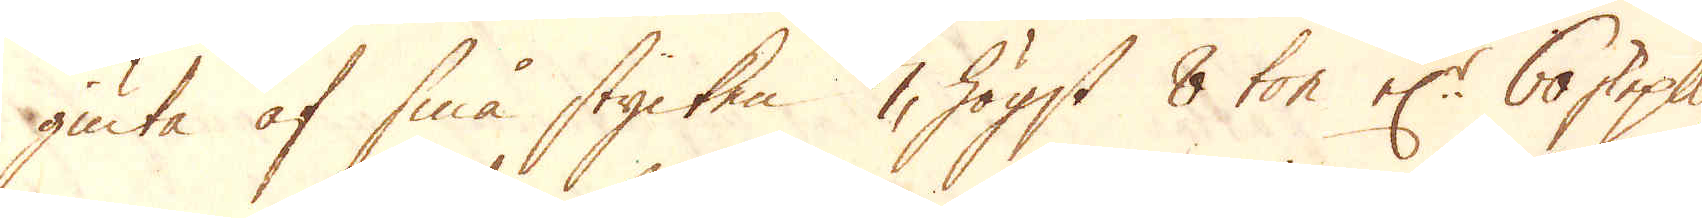giuta af små stycken 7, högst 8 ton el:r 60 skeppund
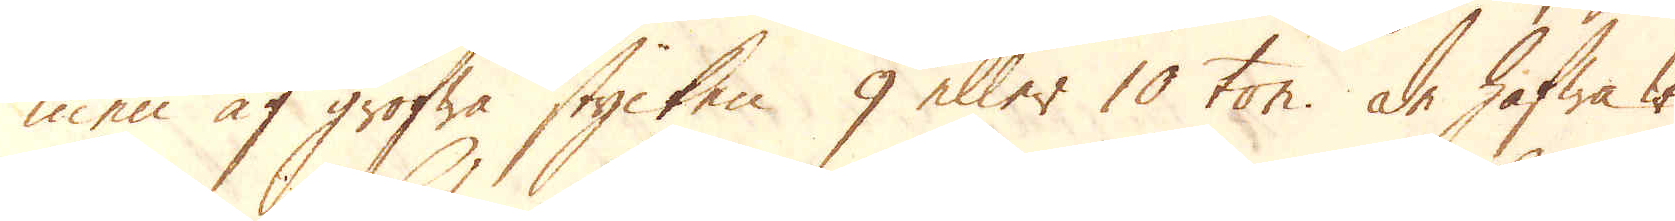men af grofwa stycken 9 eller 10 ton. De hafwa wid
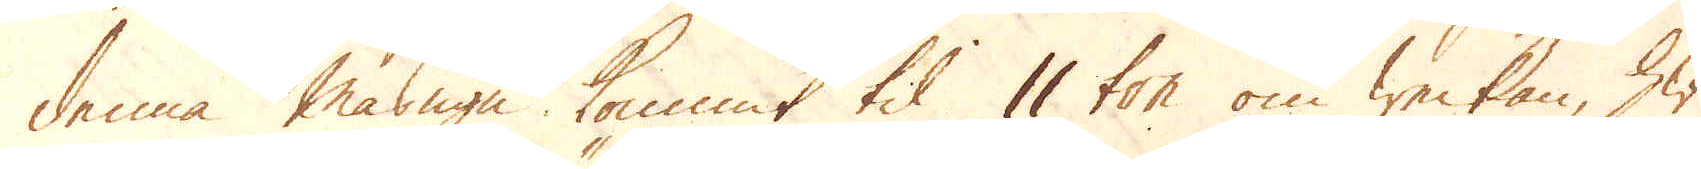denna masugn kommit til 11 ton om weckan, hwil-
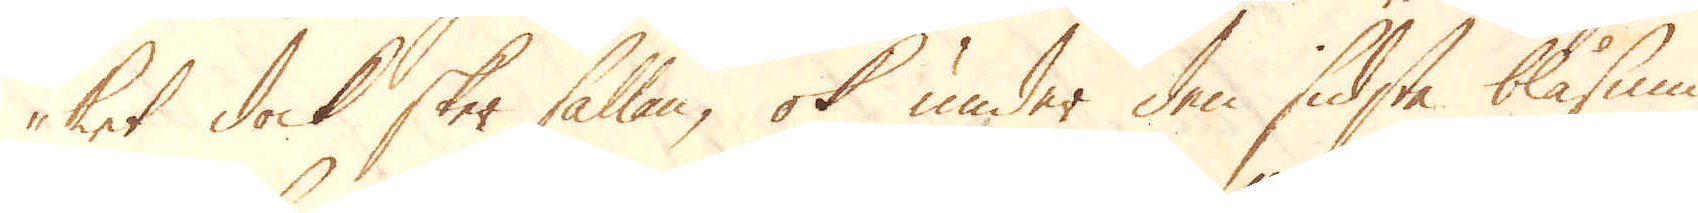ket dock sker sällan, ok under den sidsta blåsnin-
